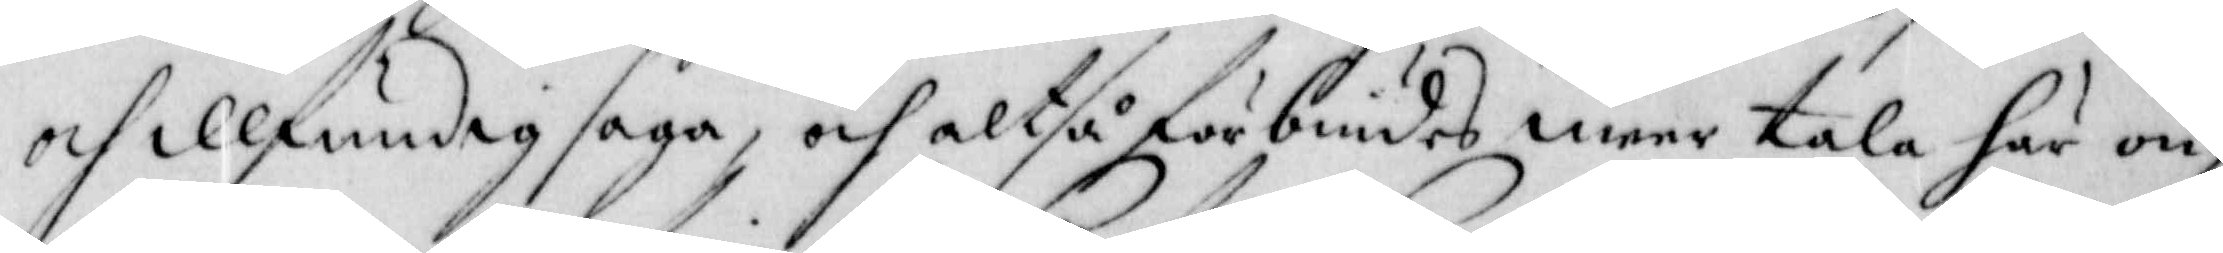och illfundig saga, och altså förbiudas meer tala här om,
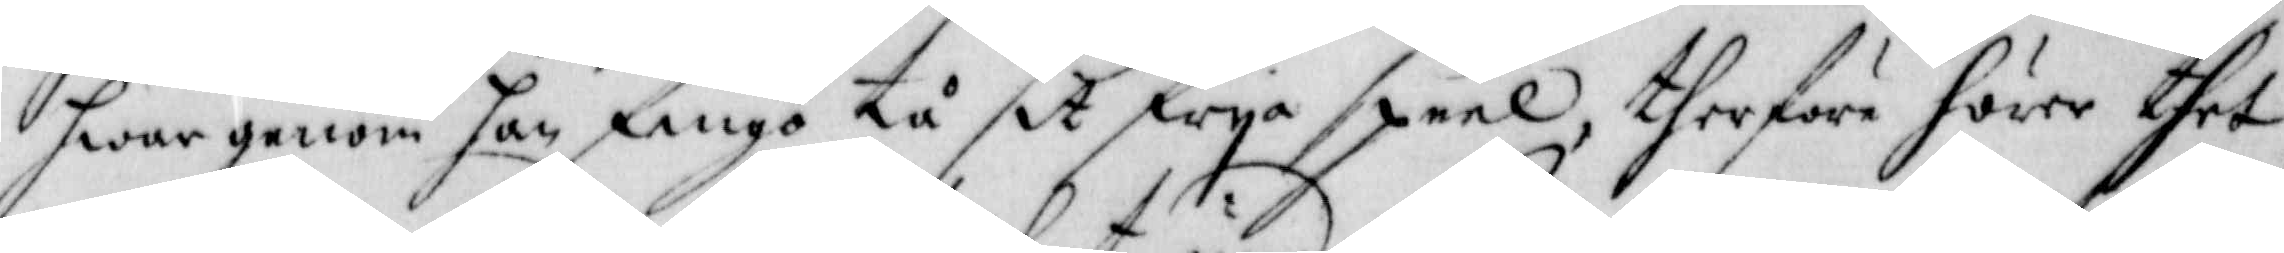hwar genom han fingo tå sit frya speel, therföre förer thet
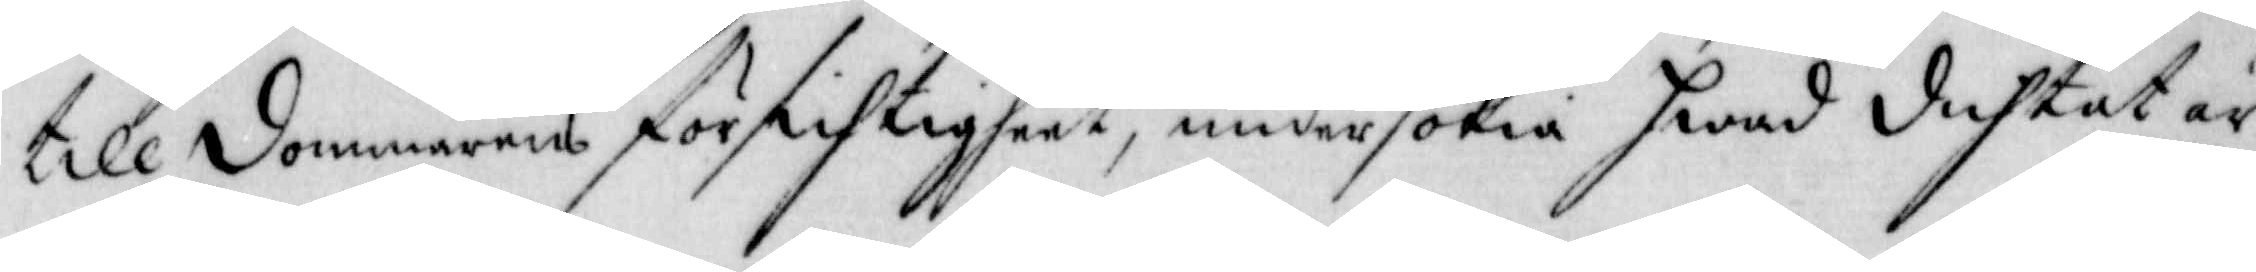till dommarens försichtigheet, undersökia hwad duhtat är
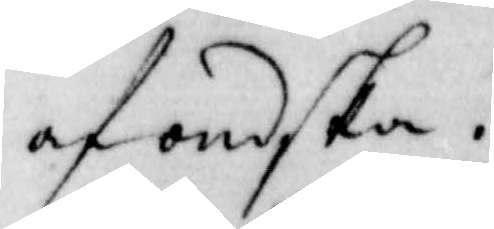af ondska.
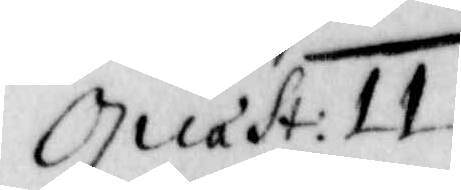Quast: 11
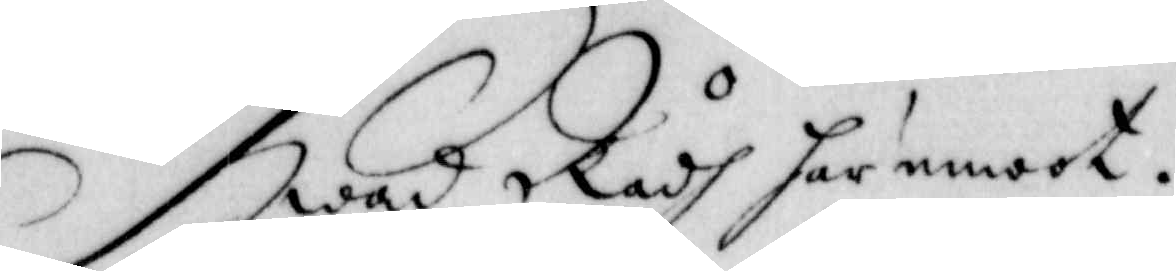Hwad Rådh här emoot.
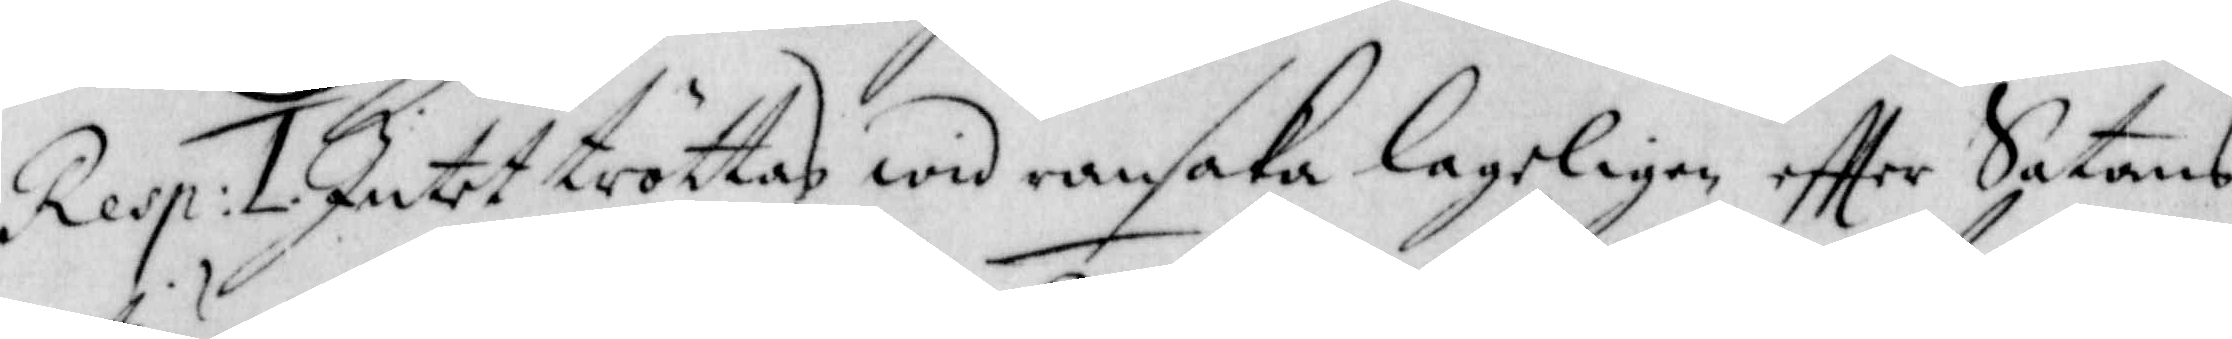Resp: 1. Intet tröttas wid ransaka lageligen effter Satans
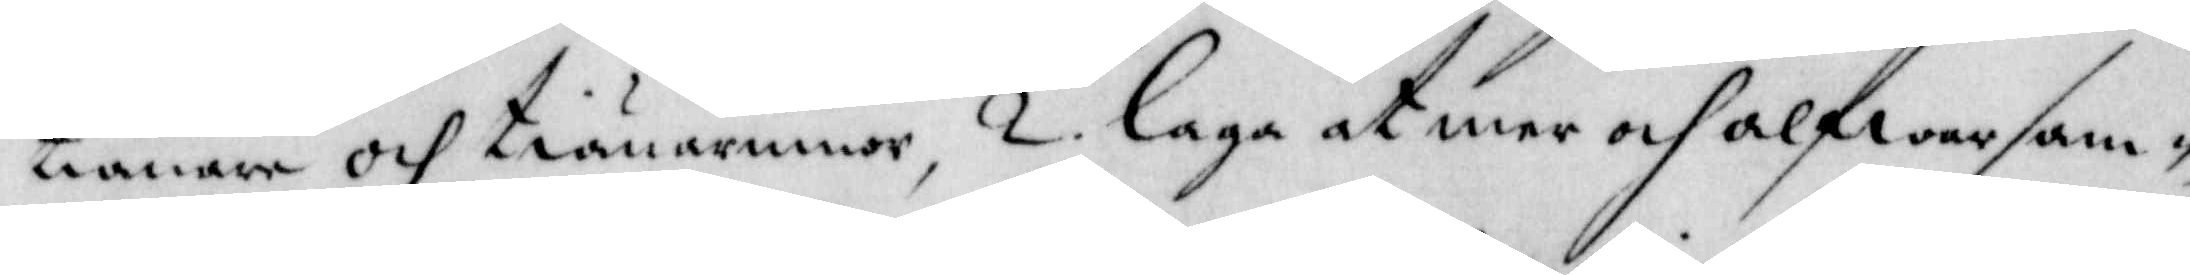tiänare och tiänarinnor, 2. laga at mer och alfwarsam¬
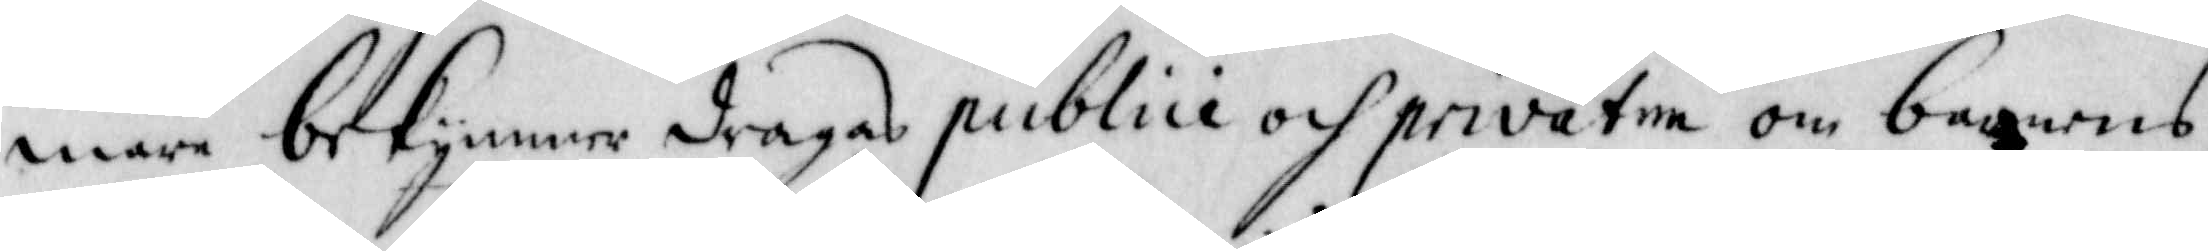mare bekymmer dragas publici och privatim om barnens
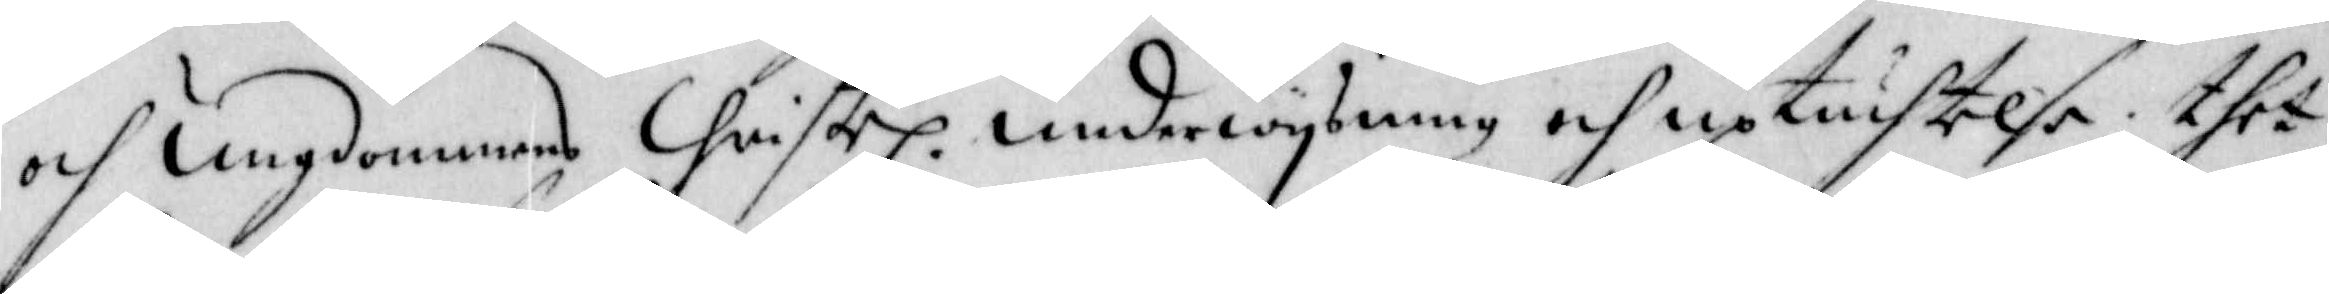och ungdommens Christel. underwysning och uptuchtelse, thet
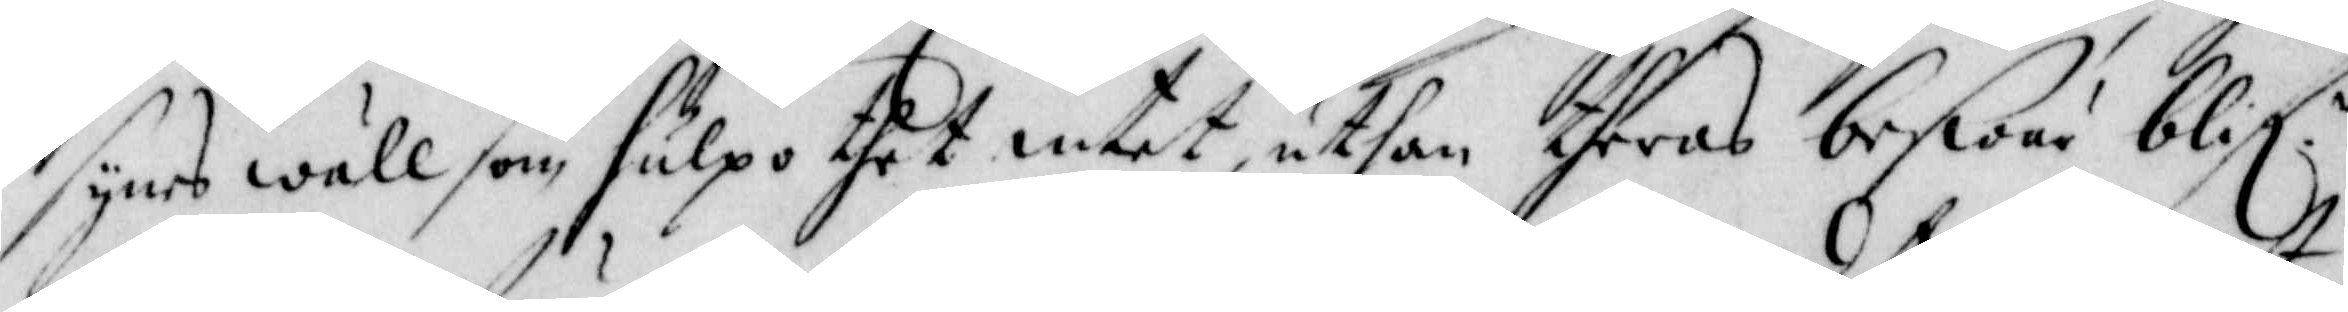synes wäll som, hulpo thet intet, uthan theras beswär blifl:
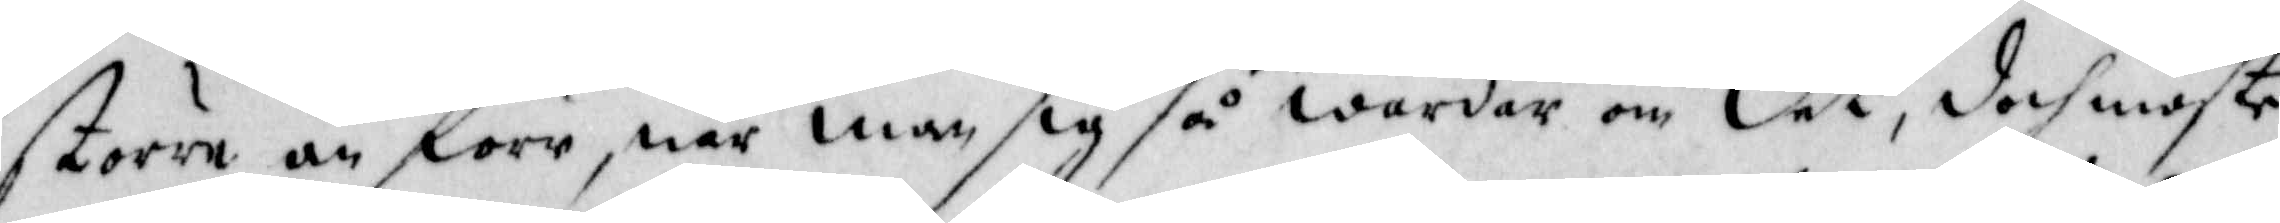större än förr, när man sig så wårdar om det, doch moste
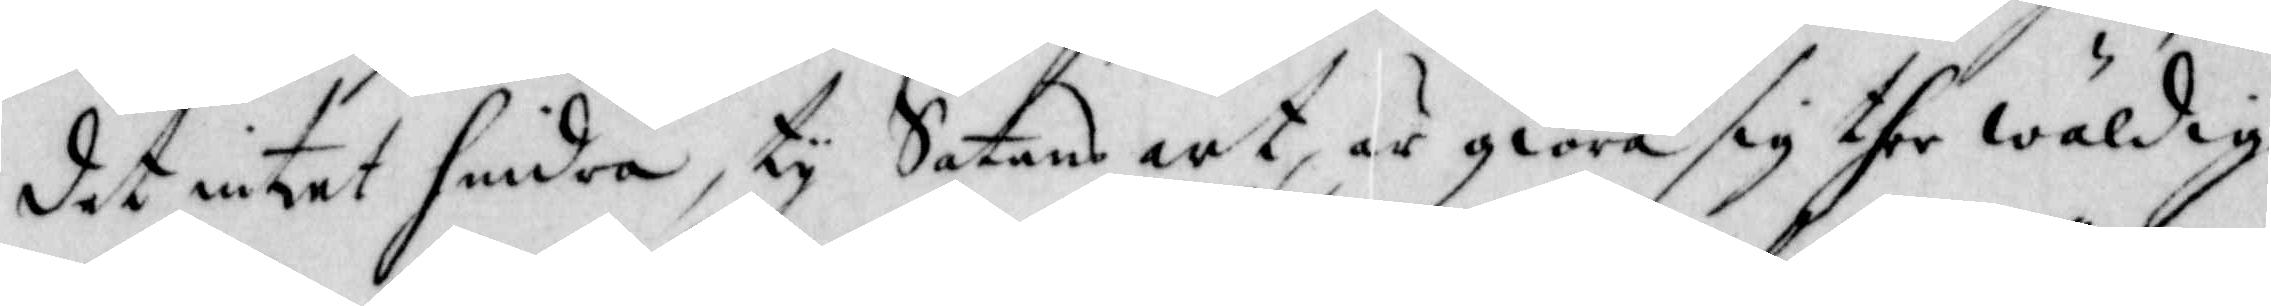det intet hindra, ty Satans art, är giöra sig the wäldig
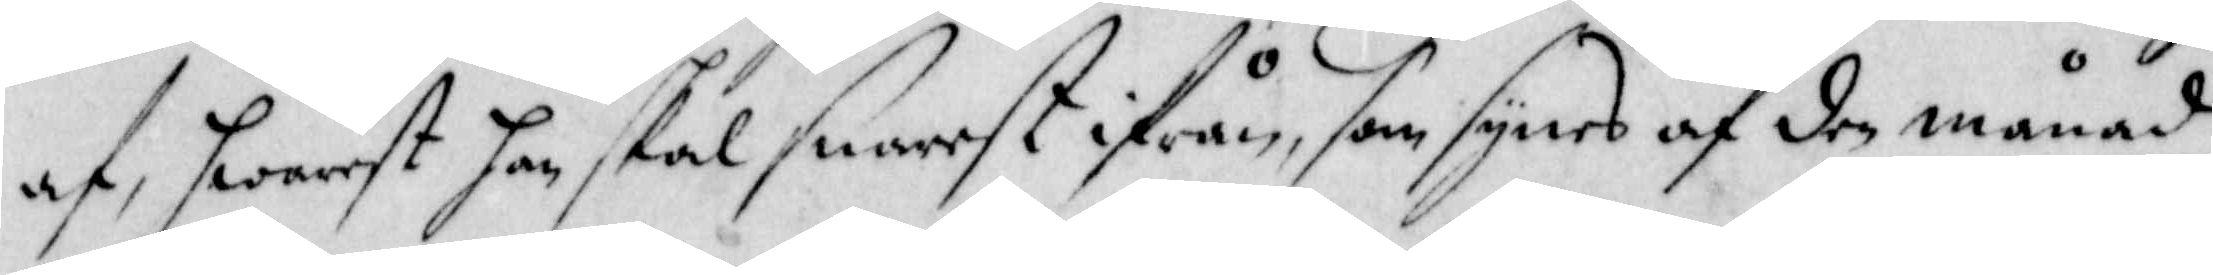af, hwarest han skal snarset ifrån, som synes af den månad
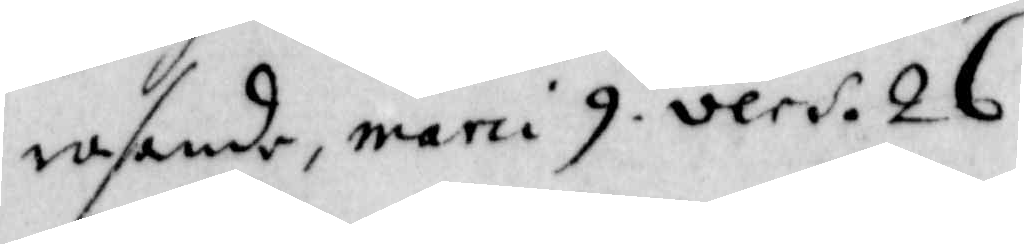rasande, maru 9. vers. 26.
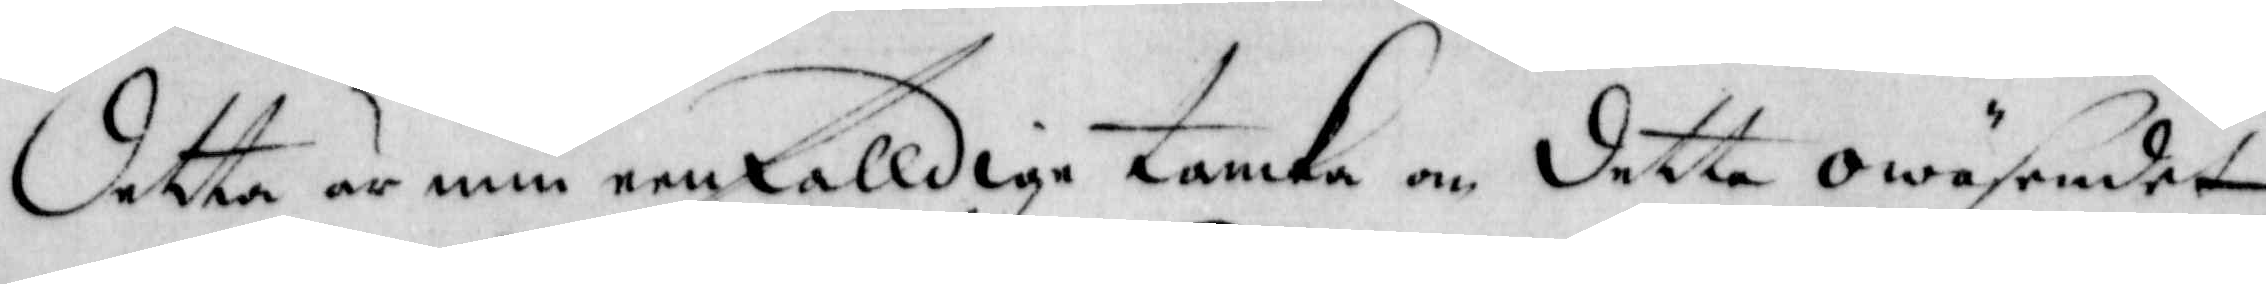detta är min eenfalldige tanka om detta owäsendet,
